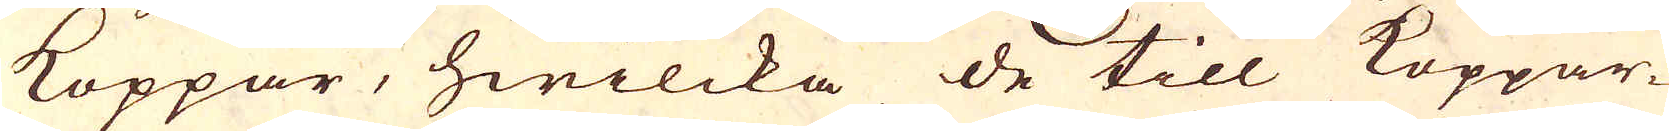Koppar, hwilcka de till Koppar-
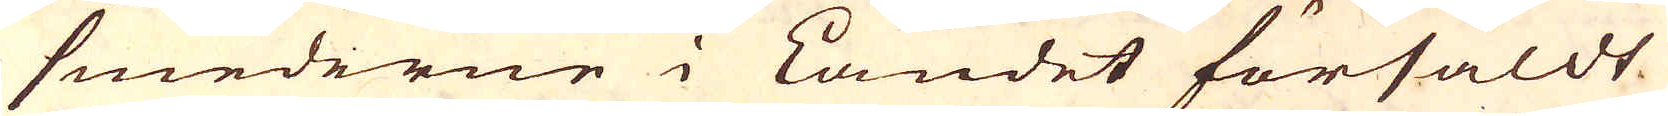smederne i Landet försåldt
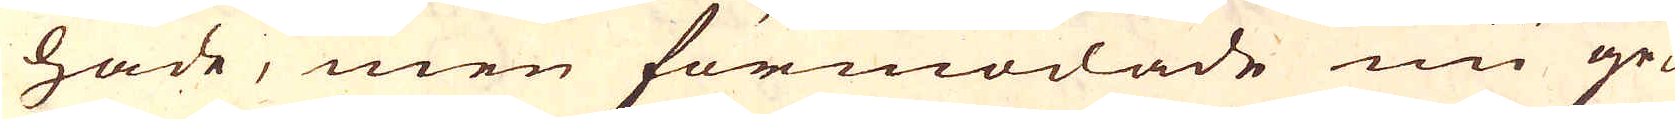hade, men förmodade nu ge-
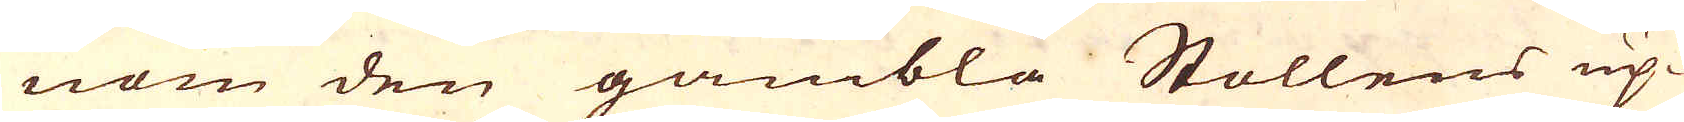nom den gambla Stollens up-
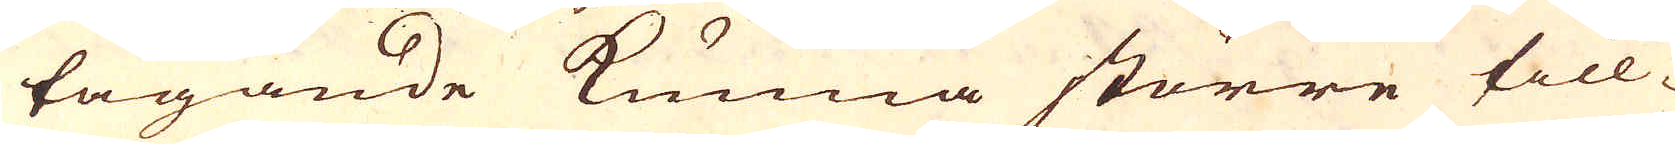tagande kunna större till-
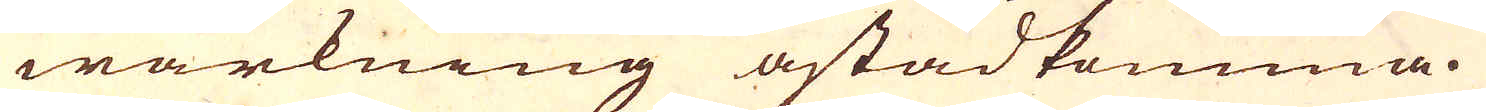wärkning åstadkomma.
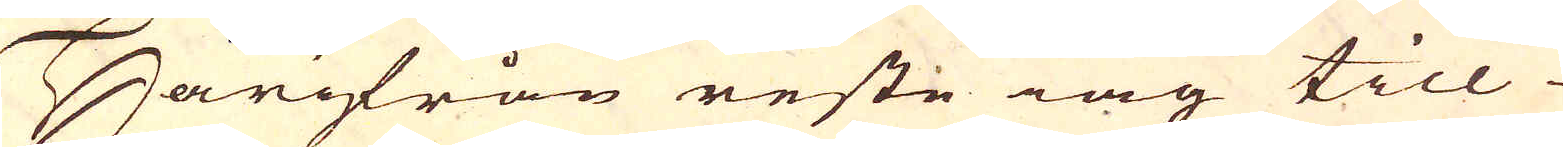Härifrån reste iag till
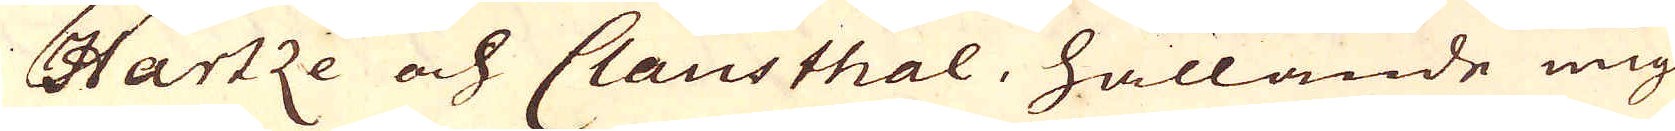Hartze och Clausthal, hållande mig
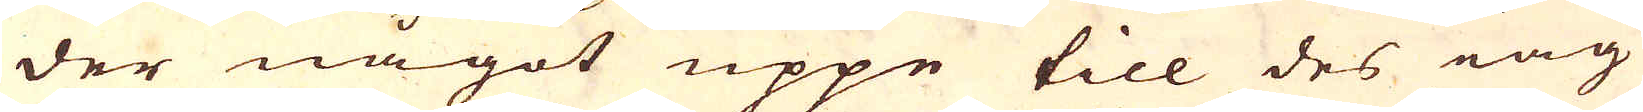der något uppe till des iag
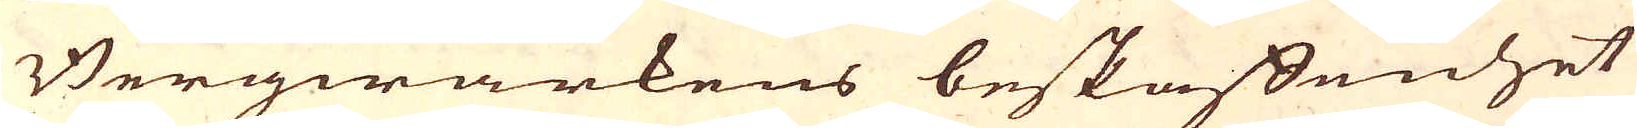Bergwärkens beskaffenhet
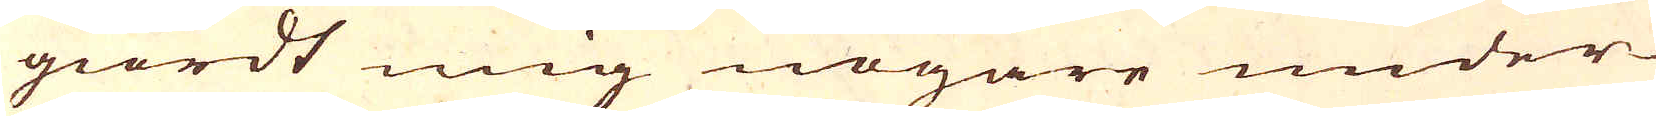giordt mig nogare under-
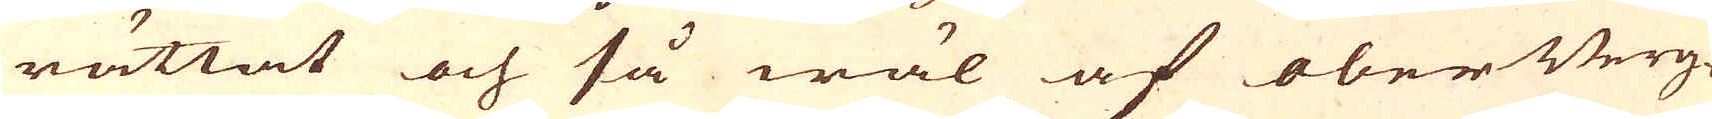rättat och så wäl af oberBerg-
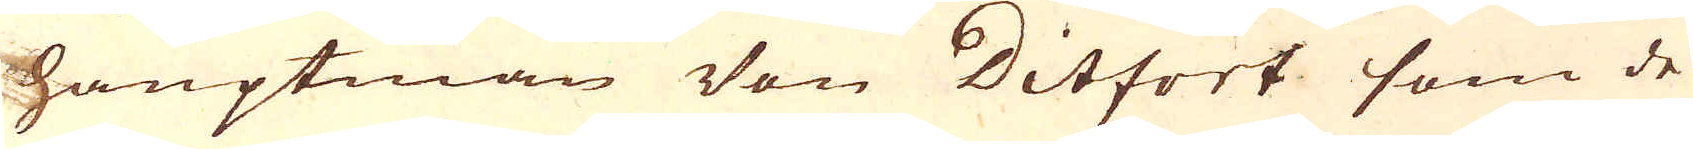hauptman Von Ditfort som de
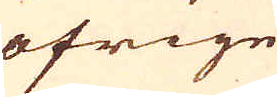öfrige
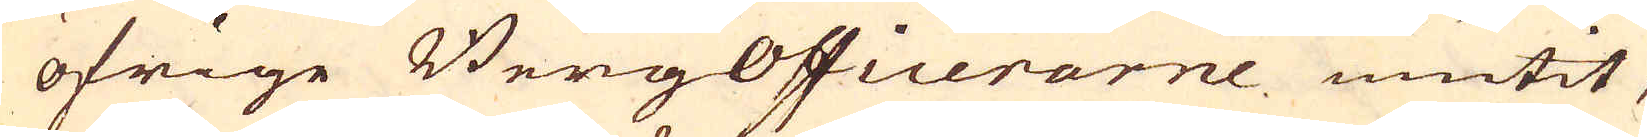öfrige Bergofficerarne niutit,
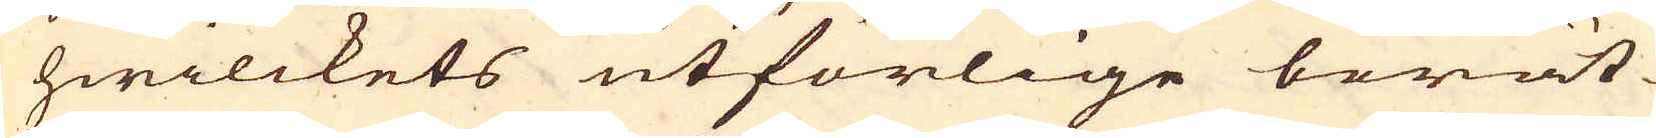hwilckets utförlige berät-
